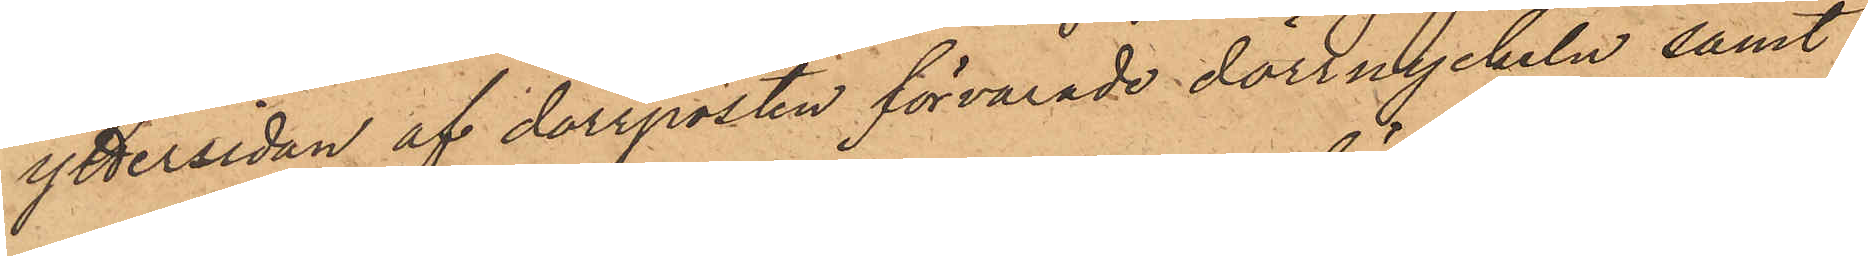yttersidan af dörrposten förvarade dörrnyckeln samt
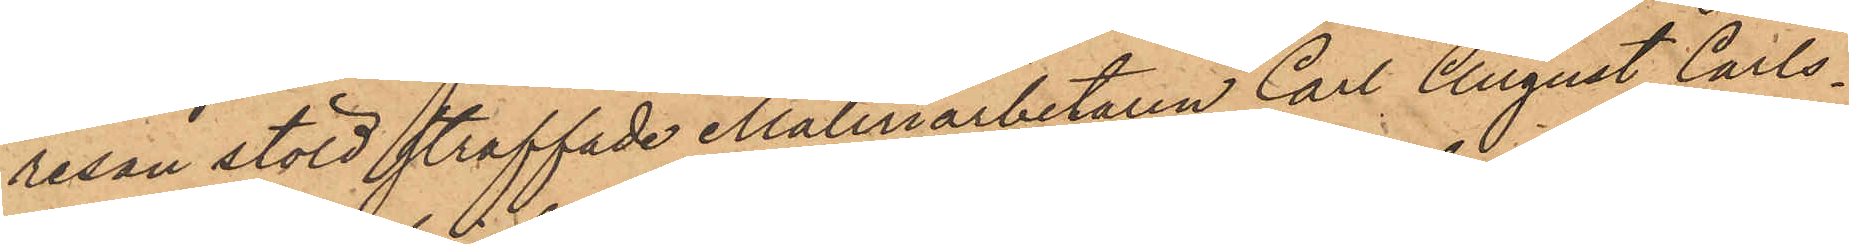resan stöld straffade Måleriarbetaren Carl August Carls¬
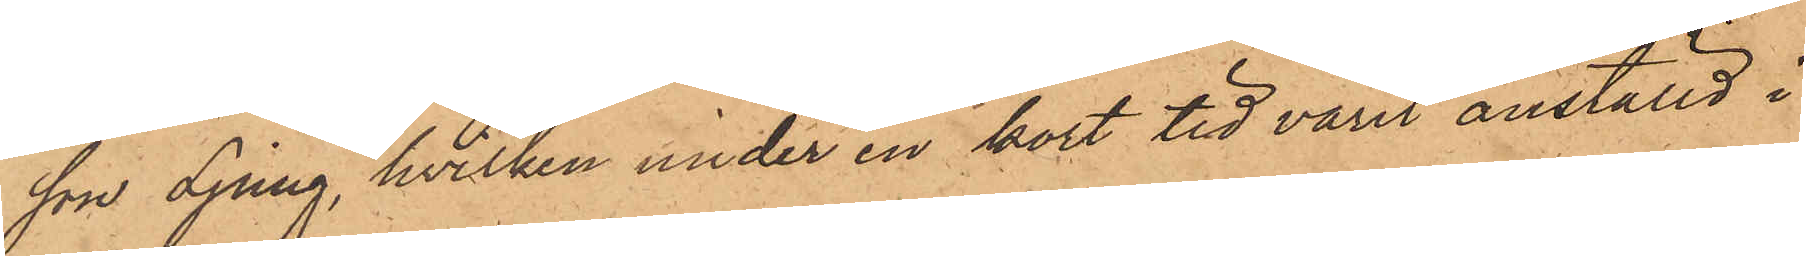son Ljung, hvilken under en kort tid varit anställd i
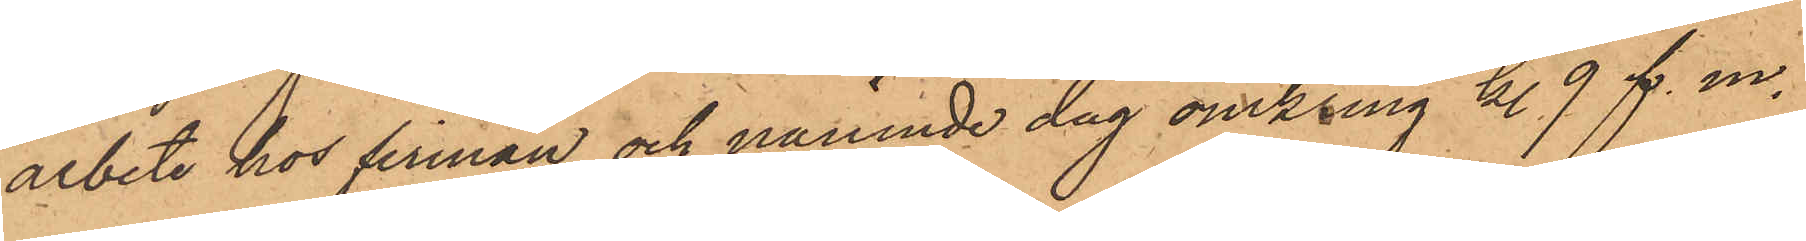arbete hos firman och nämnde dag omkring kl. 9 f. m.
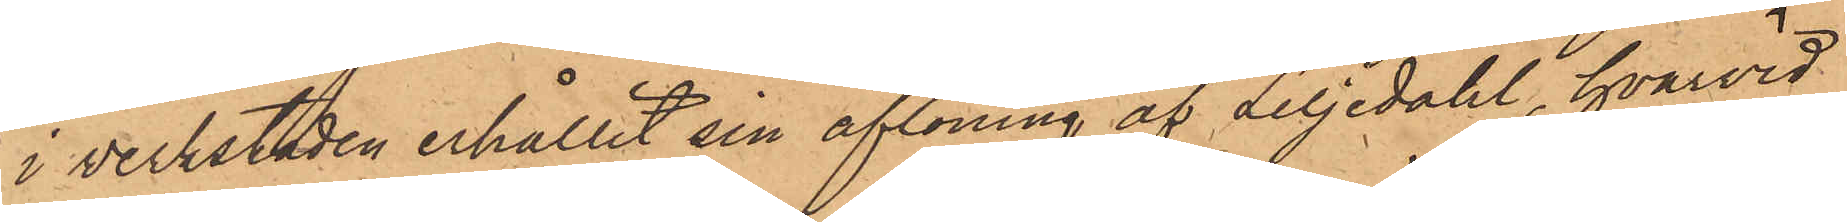i verkstaden erhållit sin aflöning af Liljedahl, hvarvid
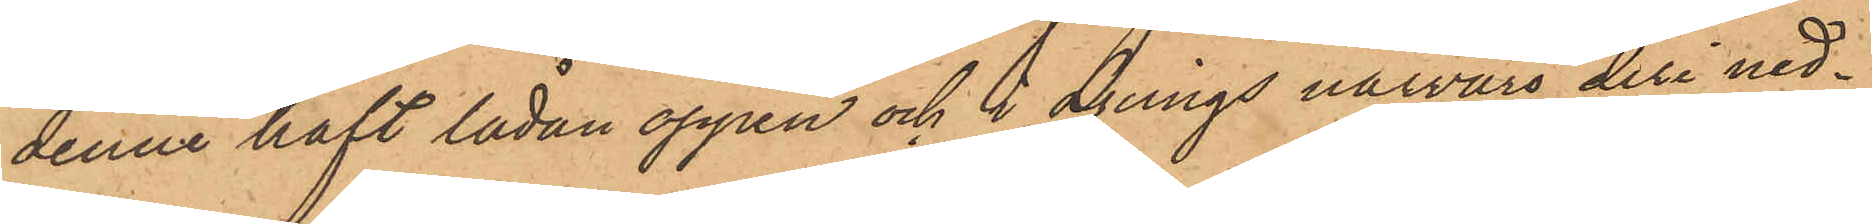denne haft lådan öppen och i Ljungs närvaro deri ned¬
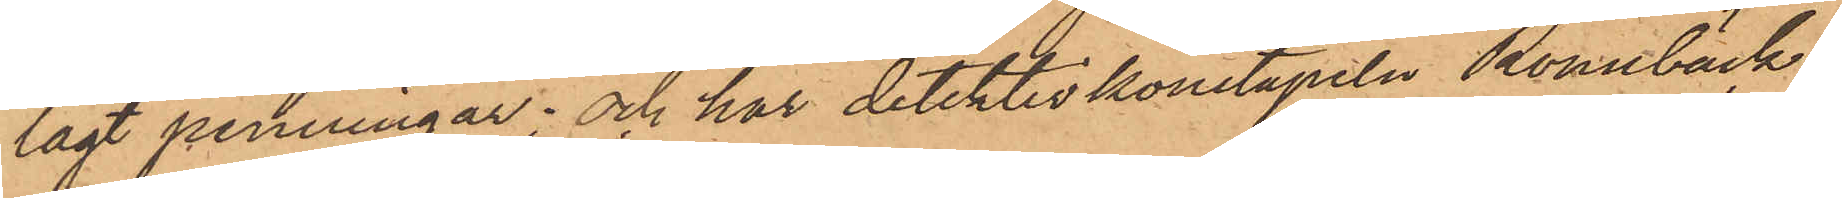lagt penningar; och har detektivkonstapeln Rönnbäck
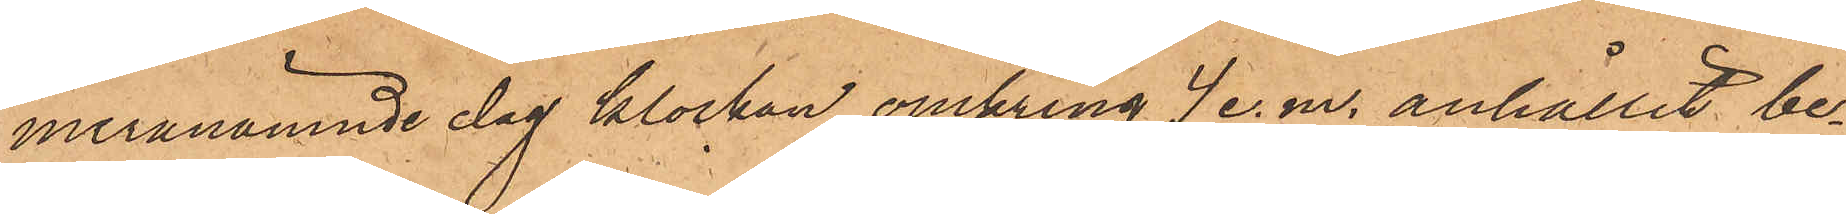meranämnde dag klockan omkring 4 e. m. anhållit be¬
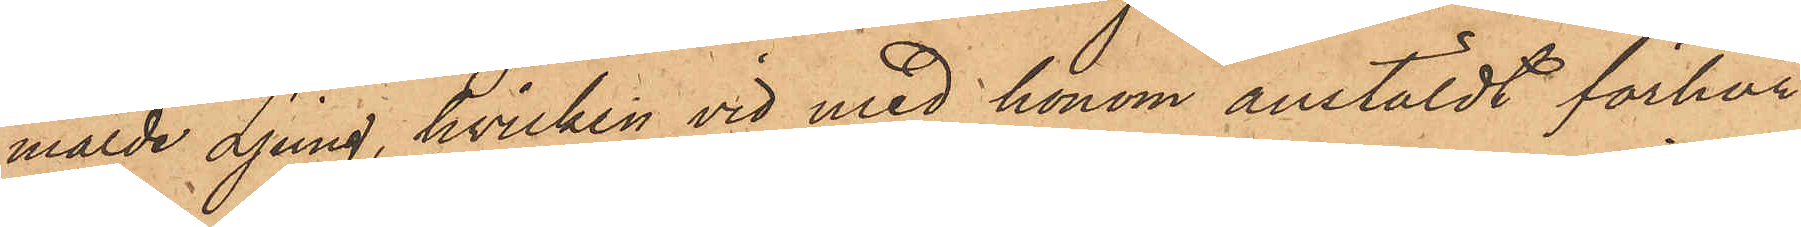mälde Ljung, hvilken vid med honom anstäldt förhör
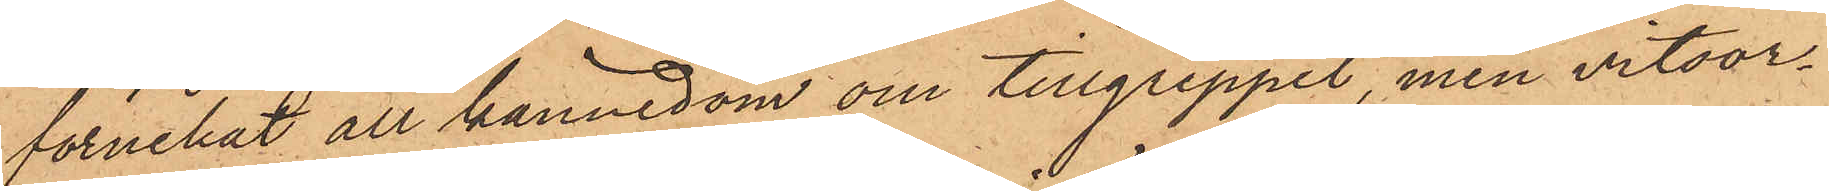förnekat all kännedom om tillgreppet, men vitsor¬
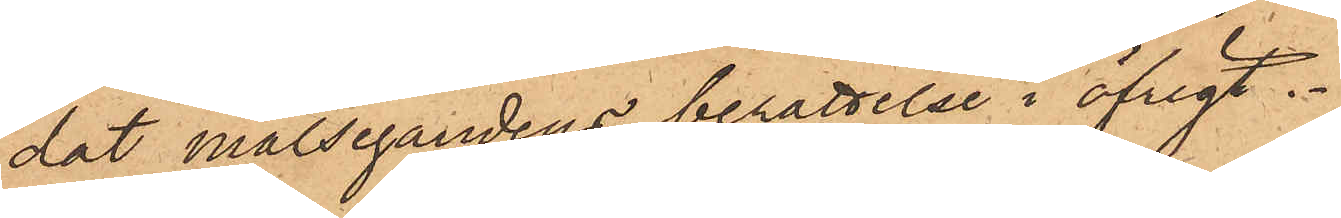dat målsegandens berättelse i öfrigt.
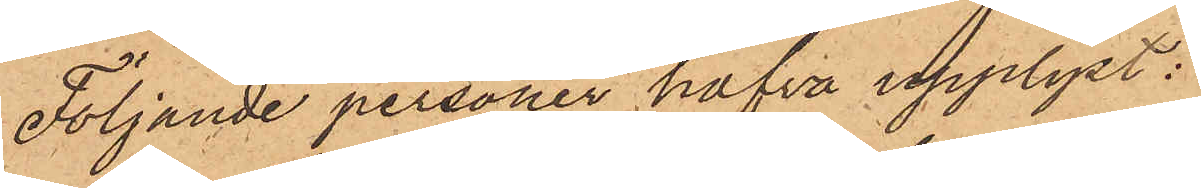Följande personer hafva upplyst:
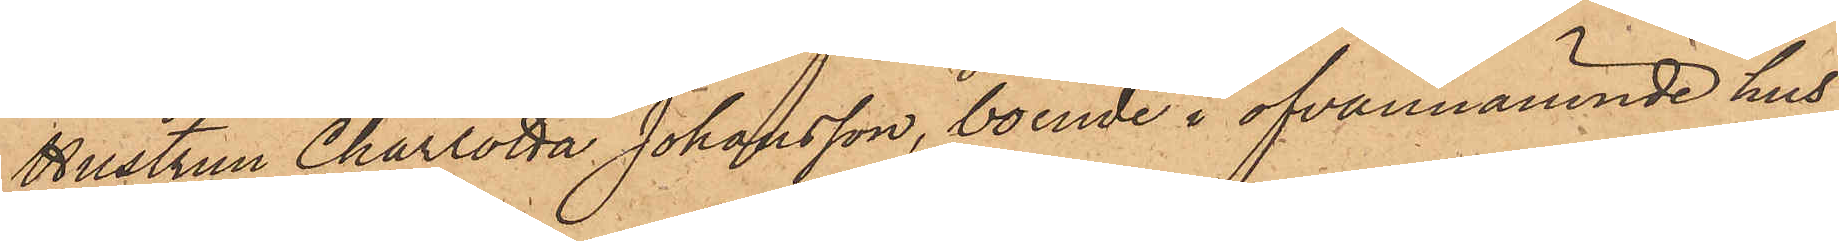Hustrun Charlotta Johansson, boende i ofvannämnde hus,
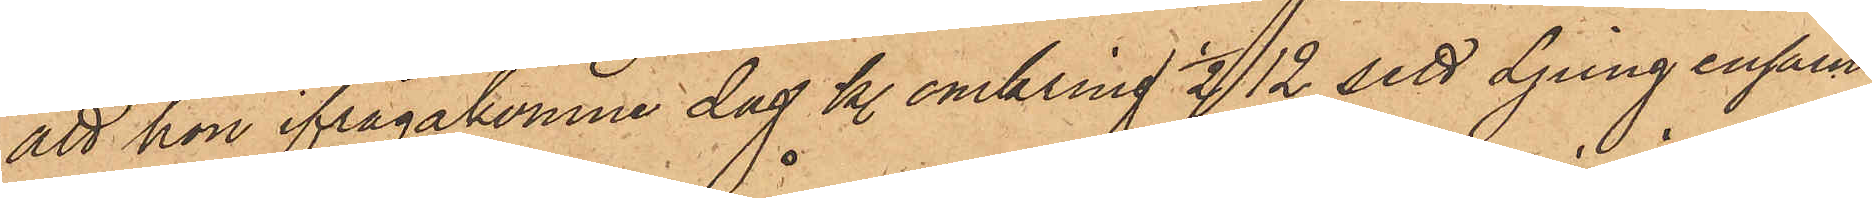att hon ifrågakomne dag kl. omkring ½12 sett Ljung ensam
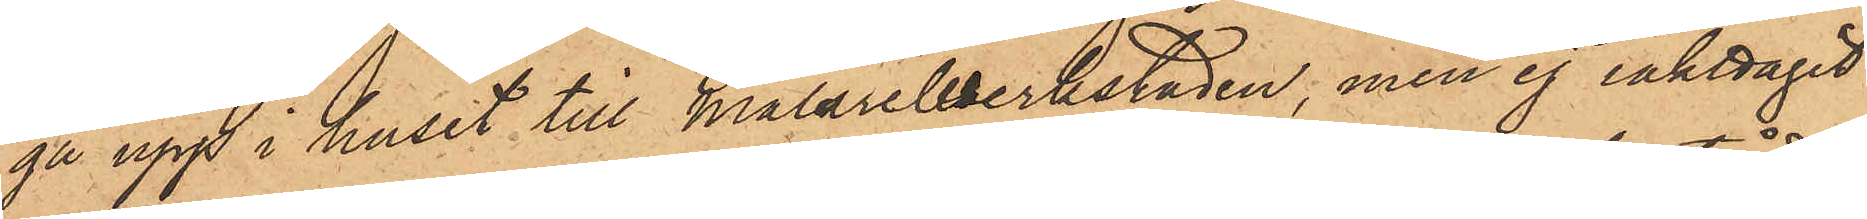gå upp i huset till Målareverkstaden, men ej iakttagit
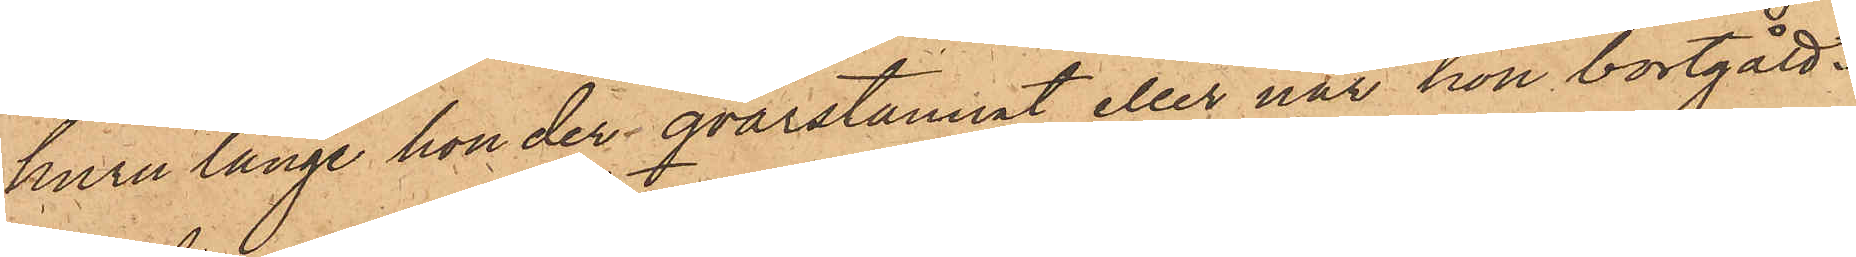huru länge han der qvarstannat eller när han bortgått.
